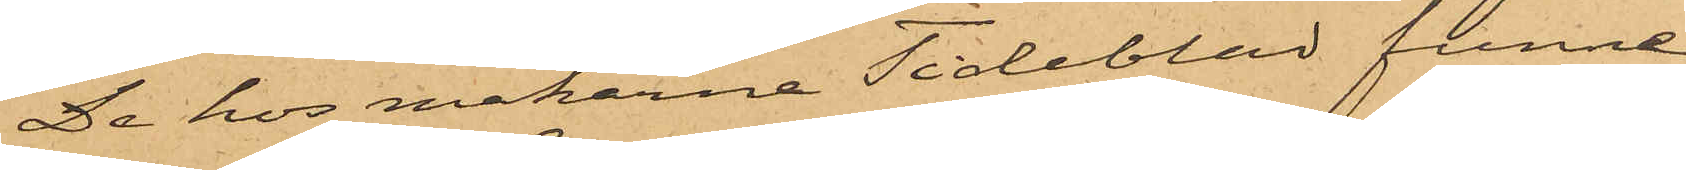De hos makarne Tideblad funne
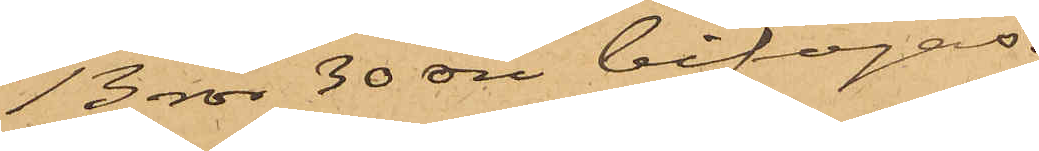13 rdr 30 öre bifogas.
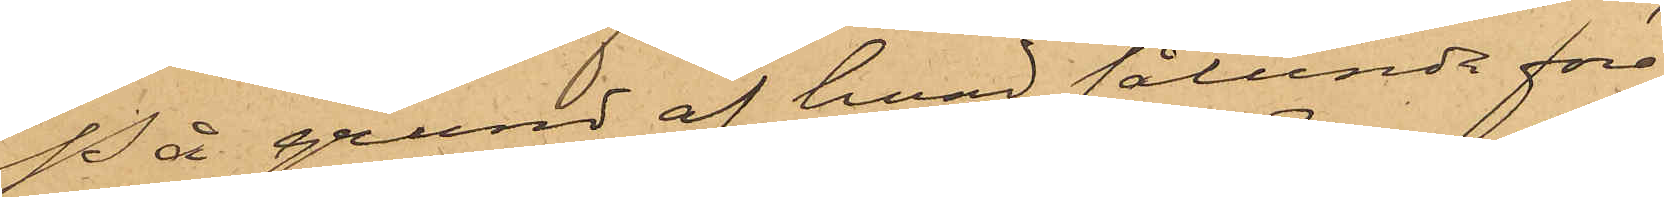På grund af hvad sålunda före¬
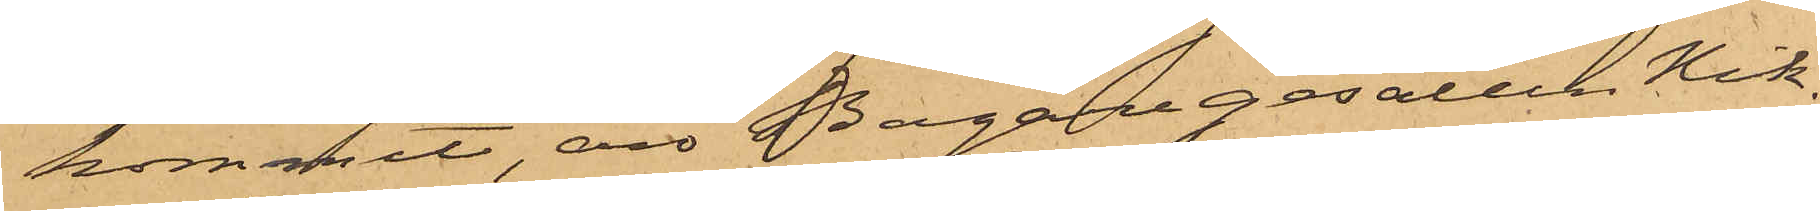kommit, äro Bagaregesällen Nik¬
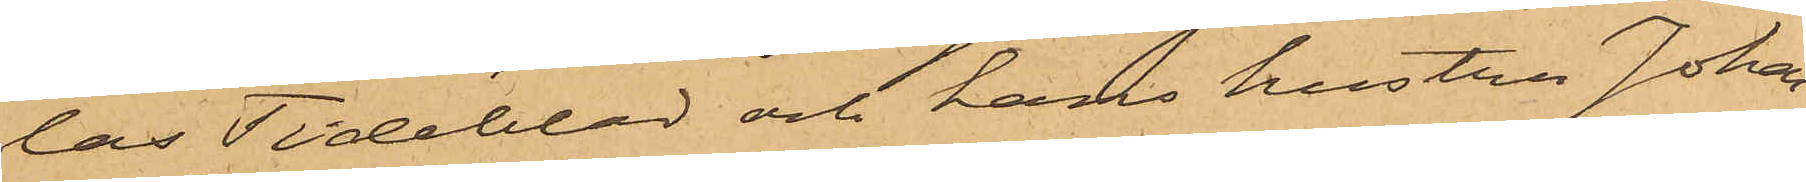las Tideblad och hans hustru Johan¬
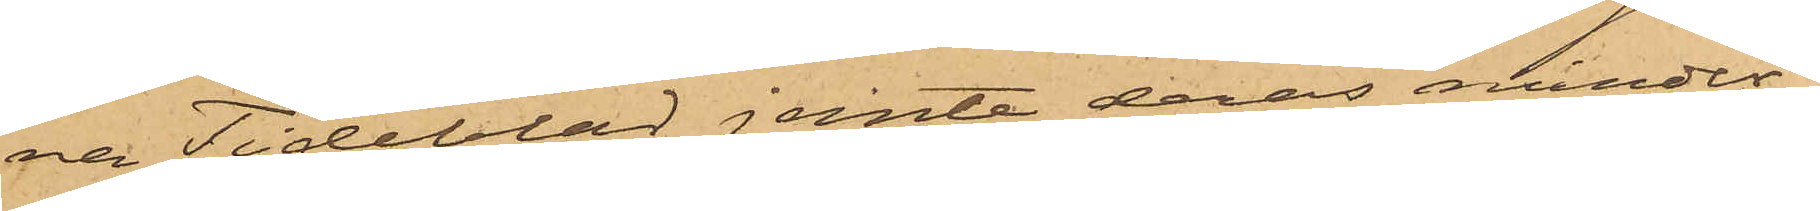na Tideblad jemte deras minder¬
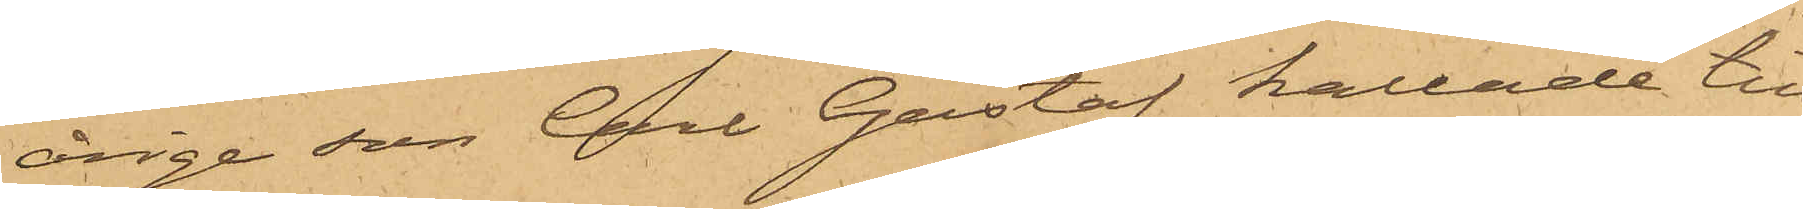årige son Carl Gustaf kallade till
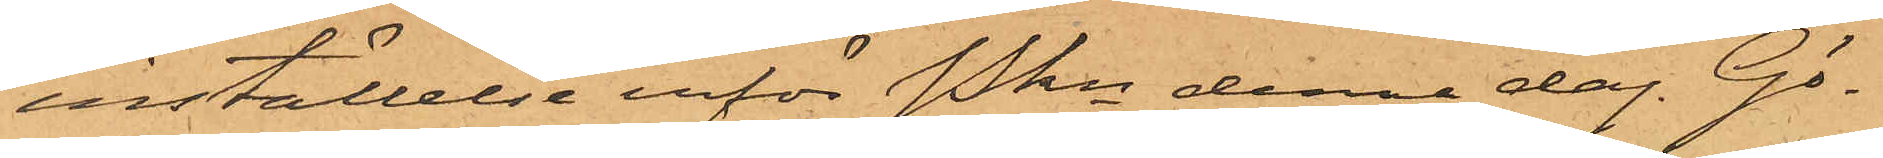inställelse inför Pkn denna dag. Gö¬
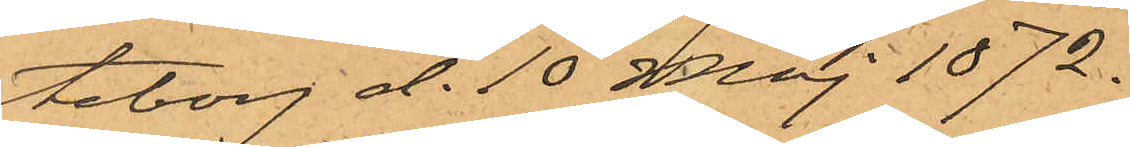teborg d. 10 Maj 1872.
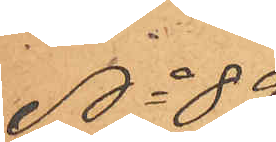No 89
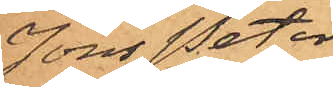Jöns Peter
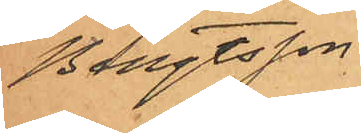Bengtsson
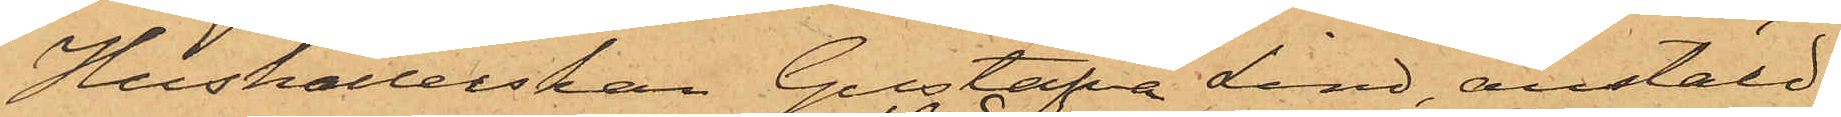Hushållerskan Gustafva Lind, anstäld
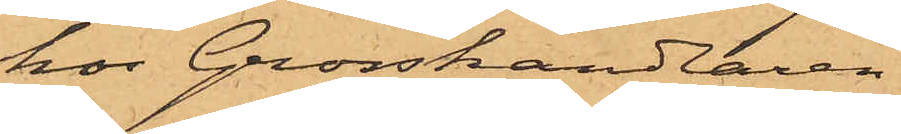hos Grosshandlaren
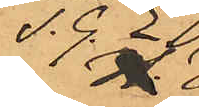S. G. E.
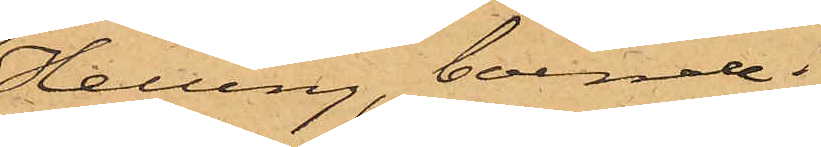Helling, boende i
